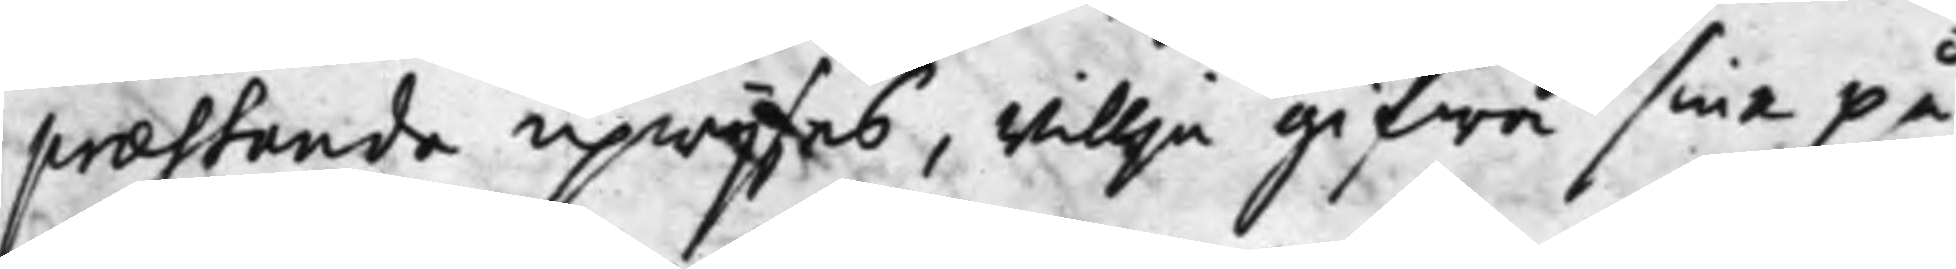praestanda upwijsas, willja gifwa sina på¬
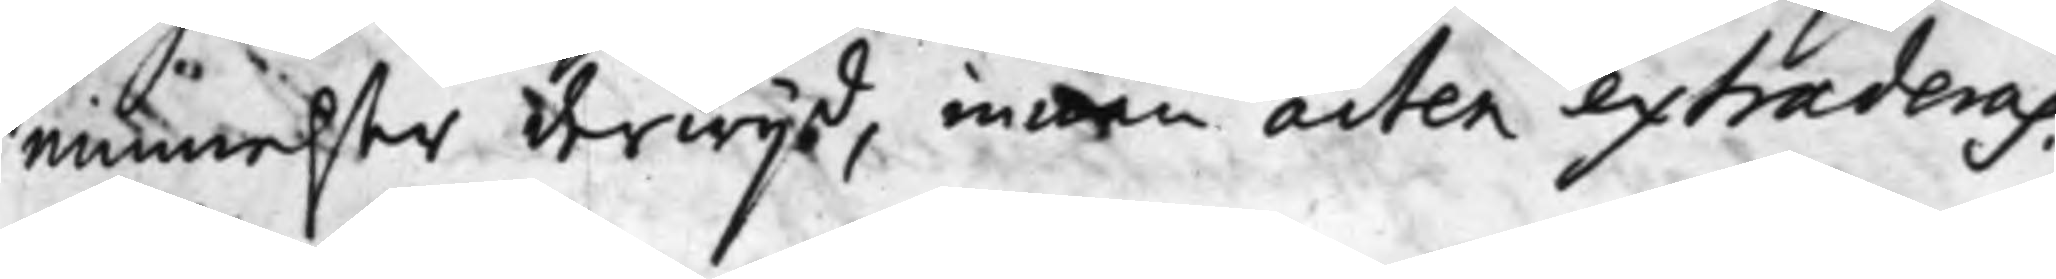minnelser derwijd, innan acten extradera.
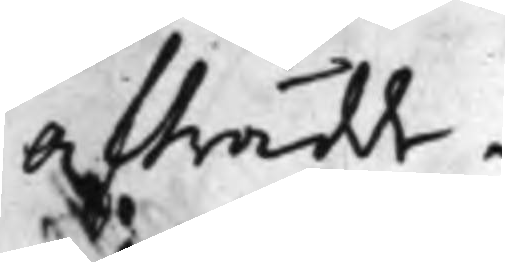Afträdde.
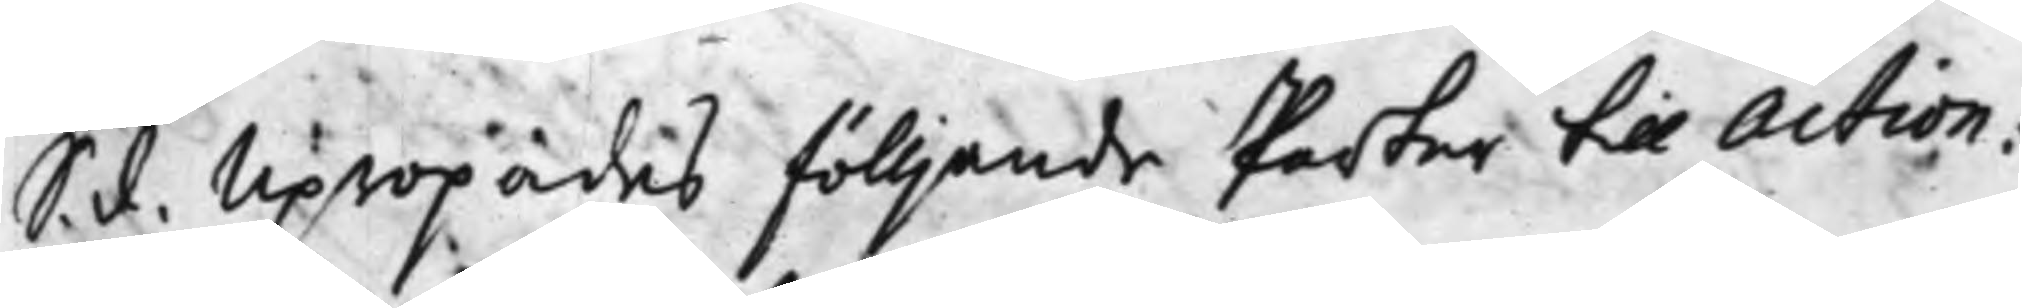S. d. Upropades fölljande Parter till Action:
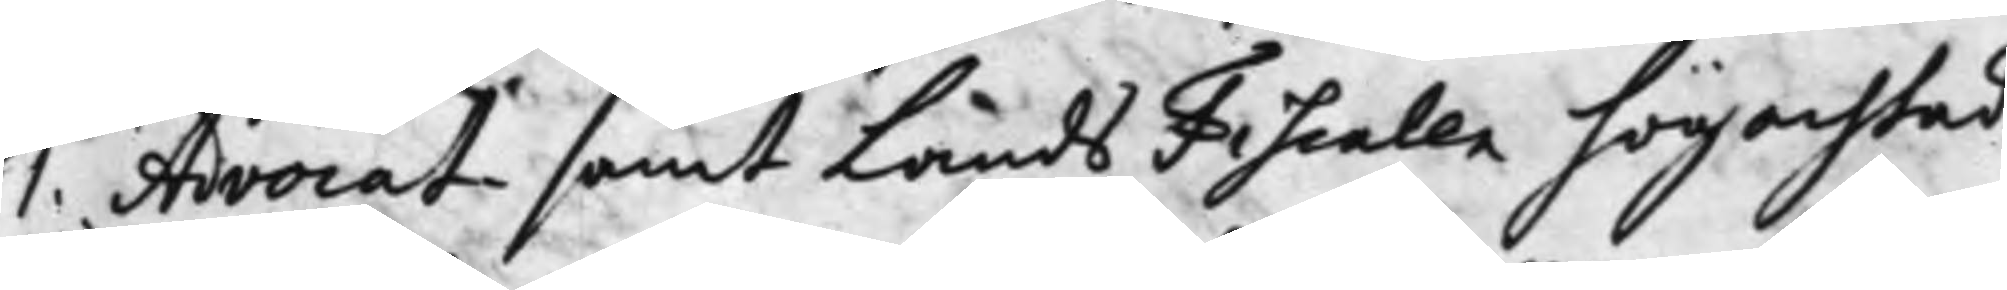1. Advocat¬ samt Lands Fiscalen högachtad
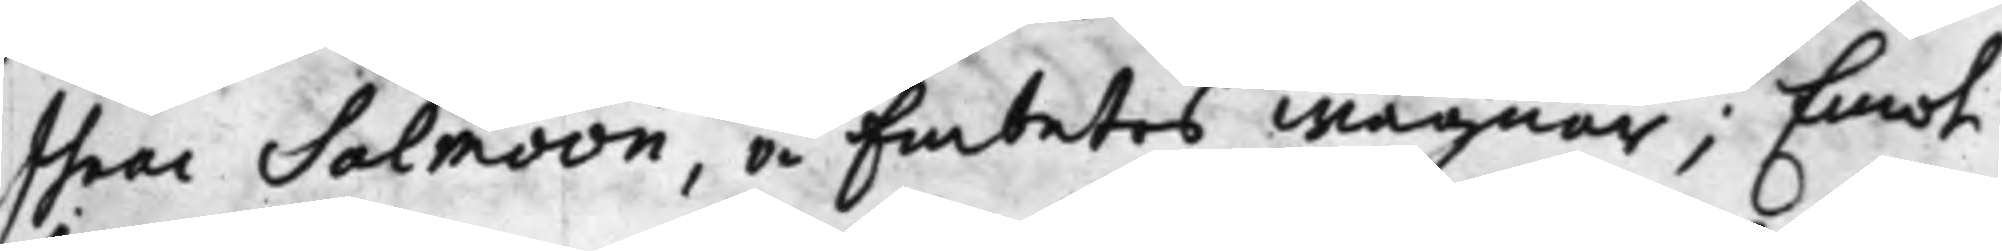Isaac Salmoon, å Embetets Wägnar; Emot
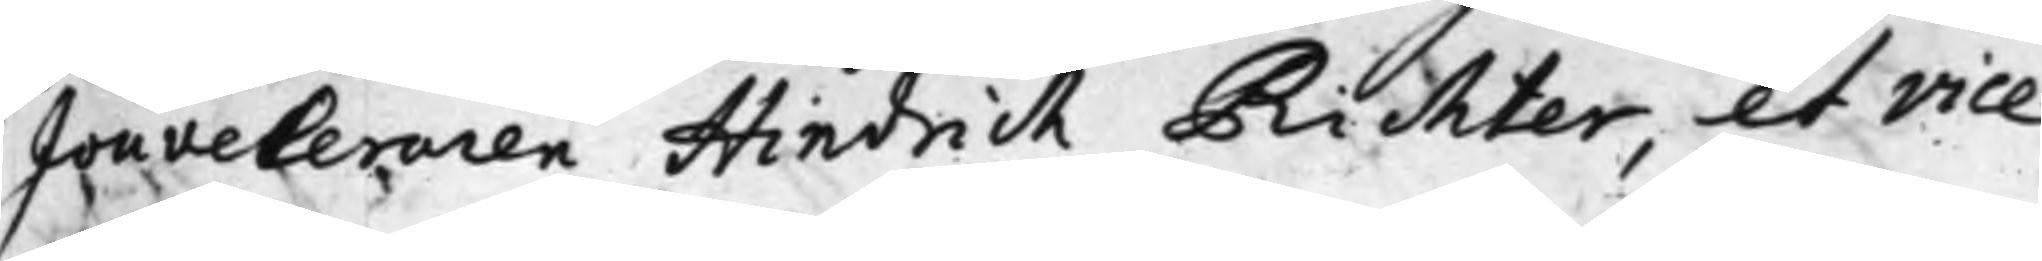Jouveleraren Hindrich Richter, et vice
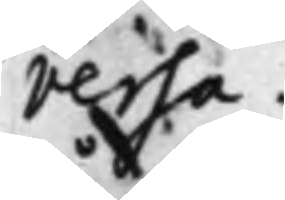versa.
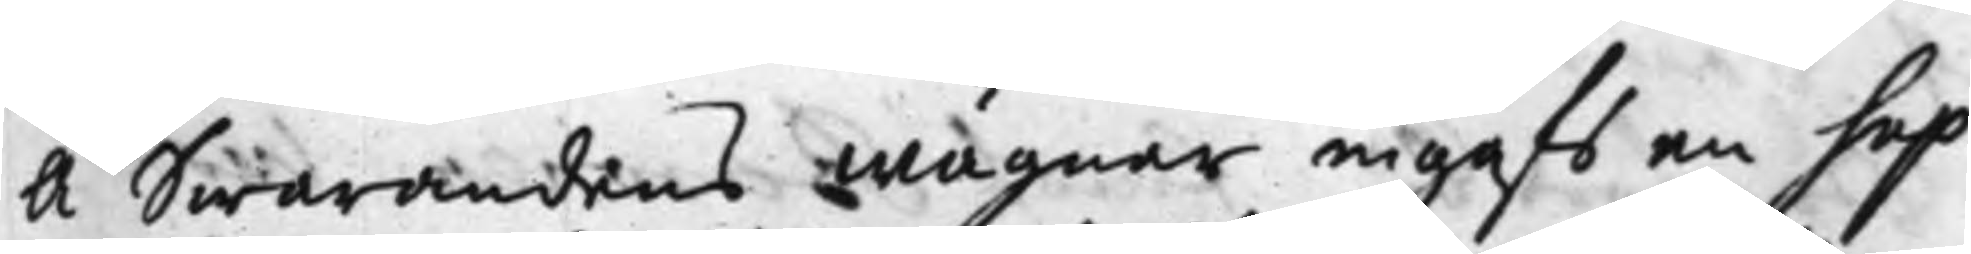Å swarandens Wägnar ingafs en Sup¬
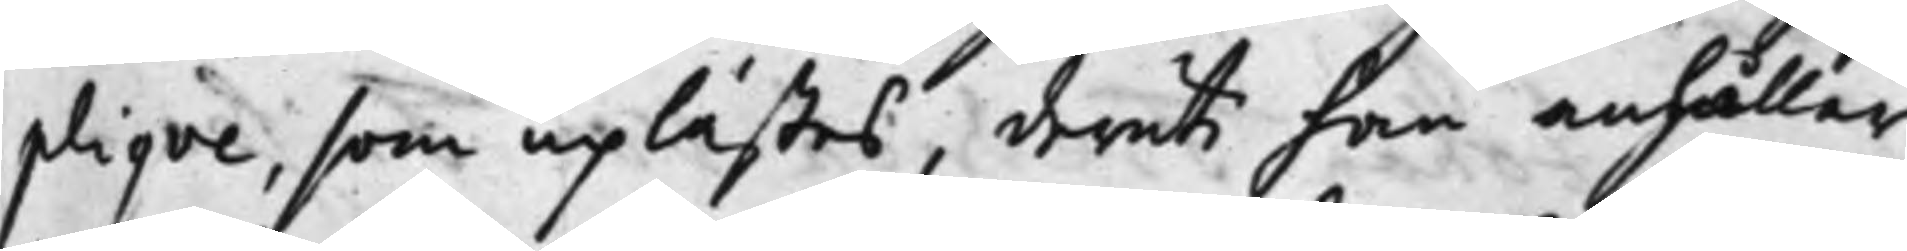pliqve, som uplästes, deruti han anhåller
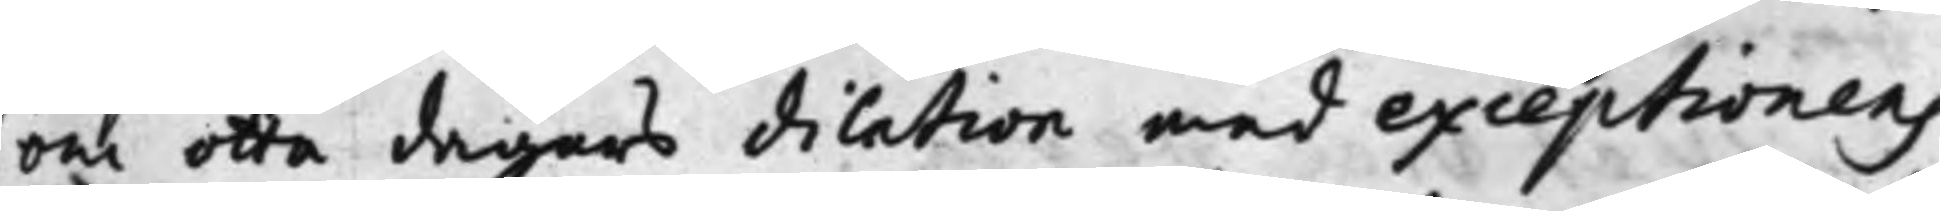om otta dagars dilation med exceptionens
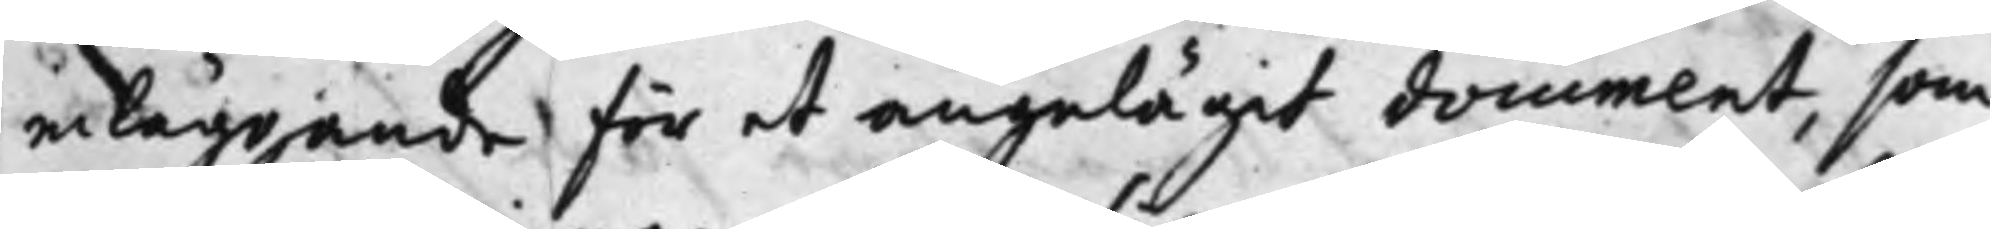inläggande för et angelägit document, som
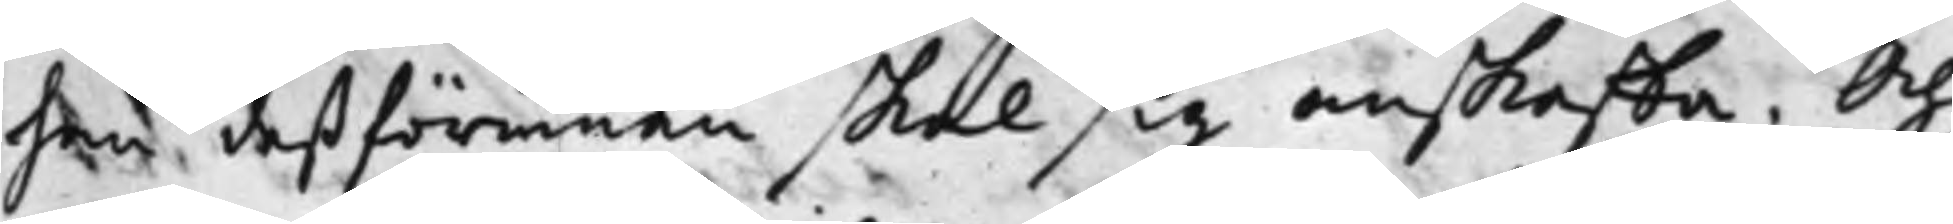han deßförinnnan skal sig anskaffa. Och
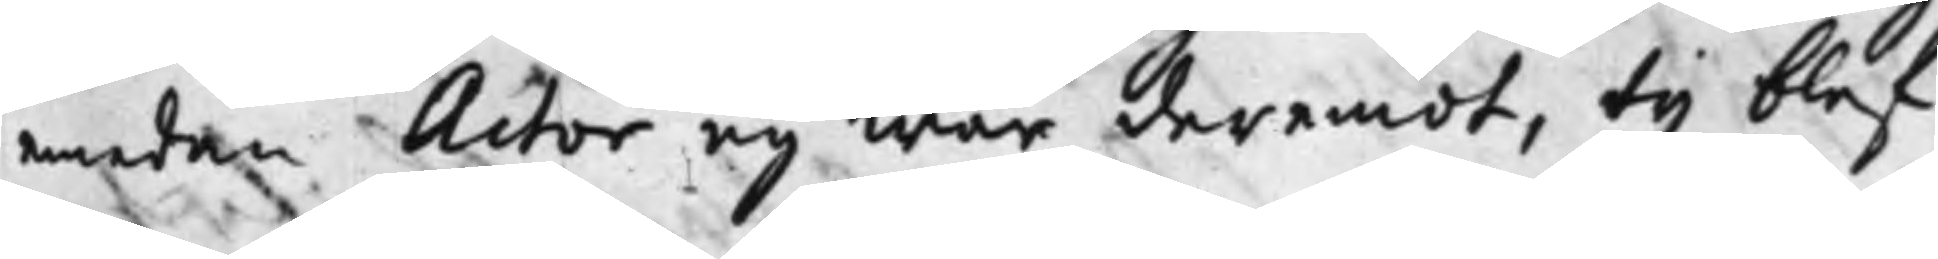emedan Actor ey war deremot, ty blef
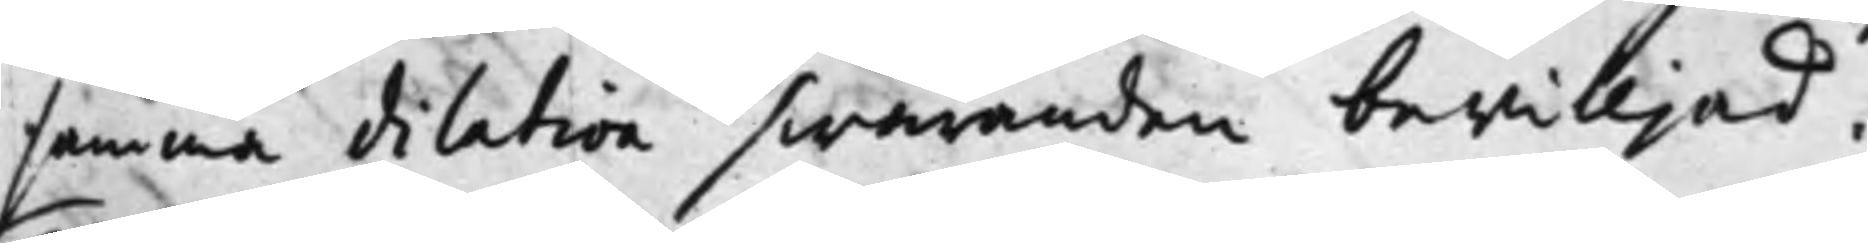samma dilation swaranden bewilljad.
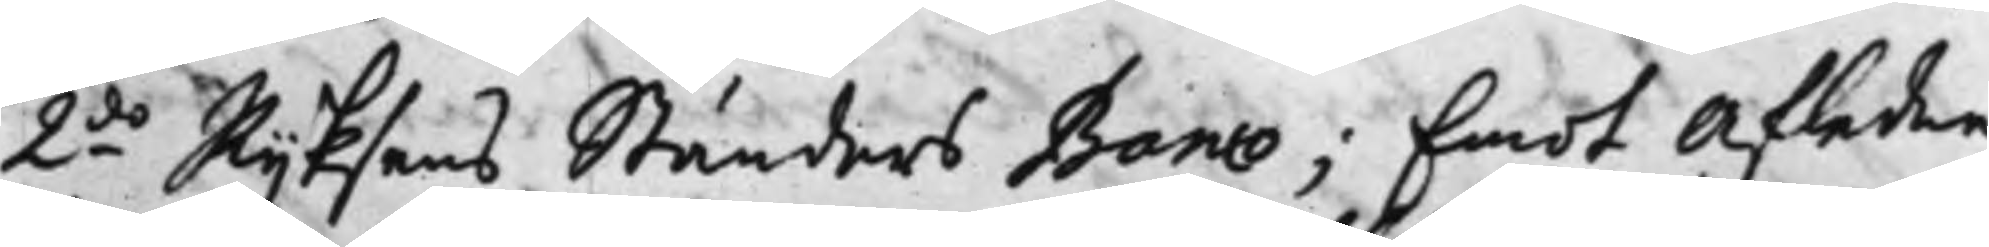2.do Rijksens Ständers Banco; Emot Afledne
